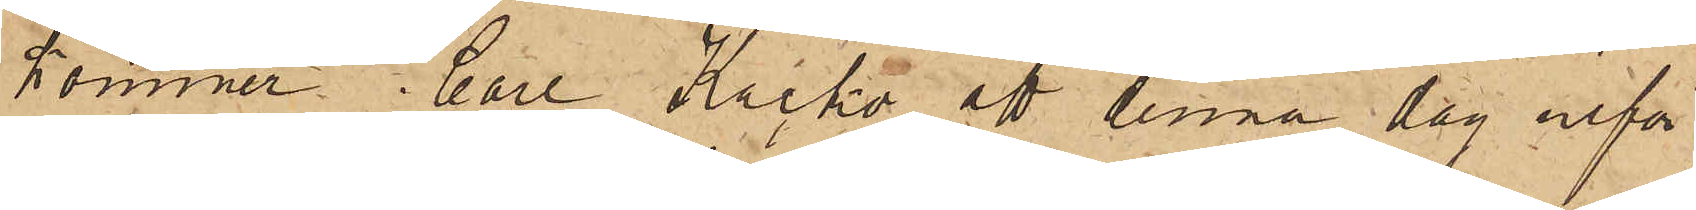kommer Carl Kacko att denna dag inför
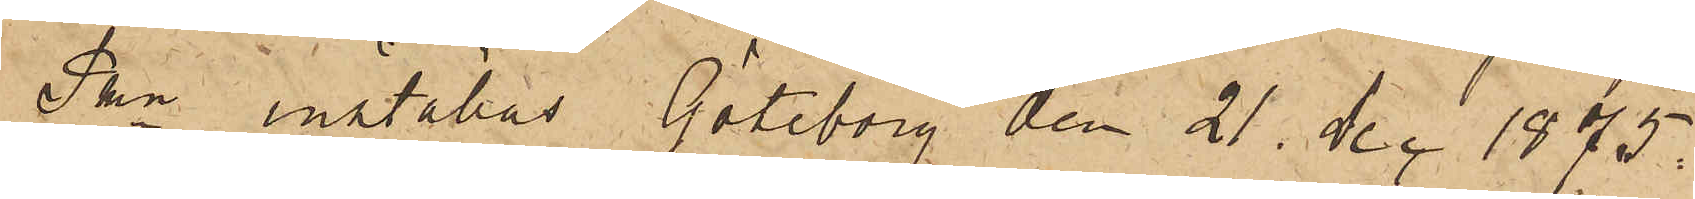Pkn inställas Göteborg den 21. Dec 1875.
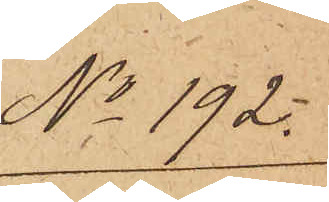No 192.
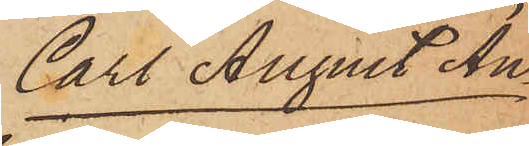Carl August An¬
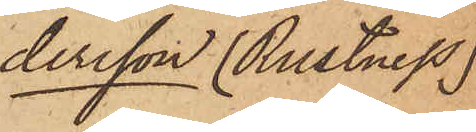dersson (Rustness)
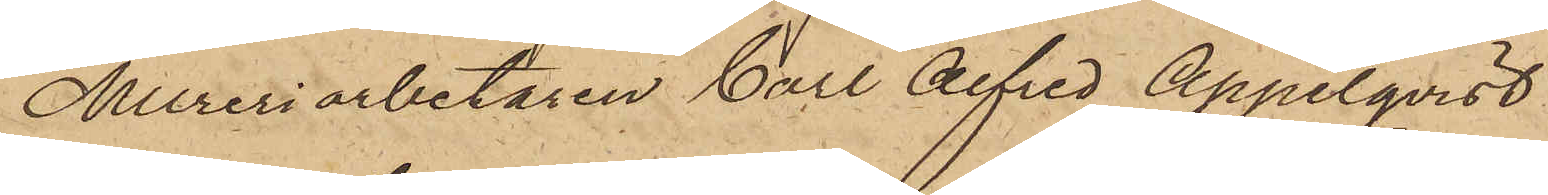Mureriarbetaren Carl Alfred Appelqvist,
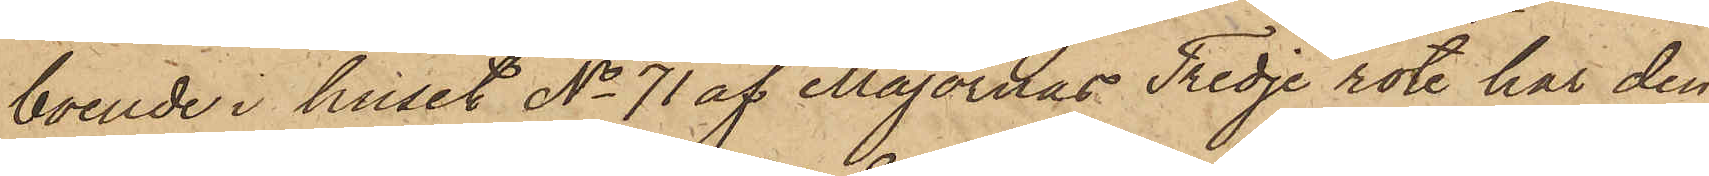boende i huset No 71 af Majornas Tredje rote har den
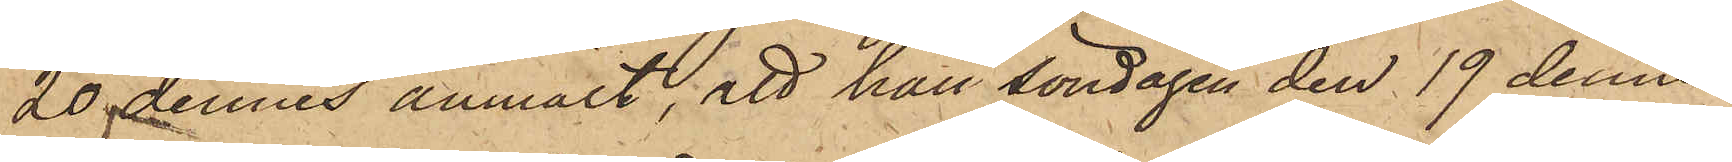20 dennes anmält; att han Söndagen den 19 dennes
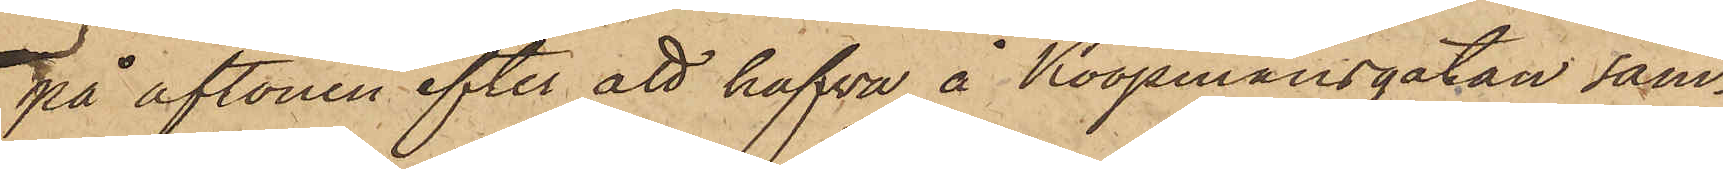på aftonen efter att hafva å Koopmansgatan sam¬
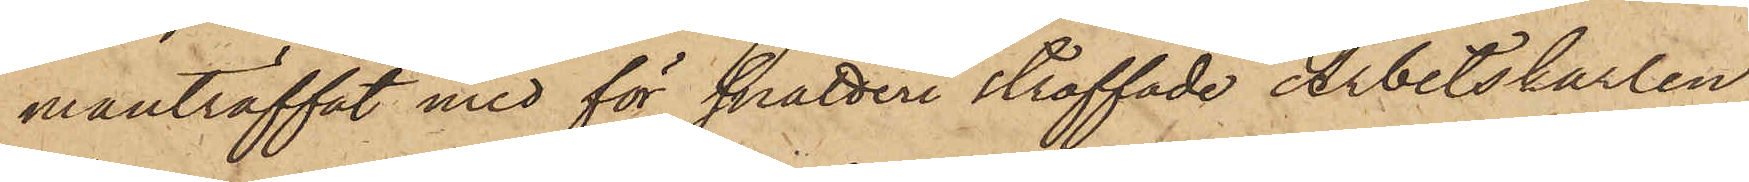manträffat med för snatteri straffade Arbetskarlen
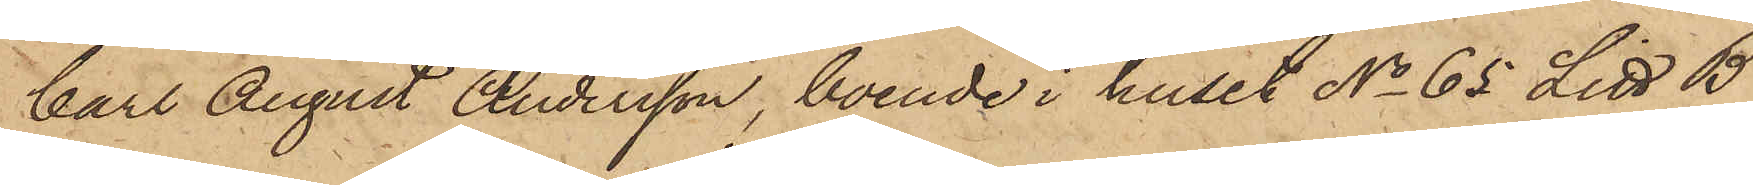Carl August Andersson, boende i huset No 65 Litt B
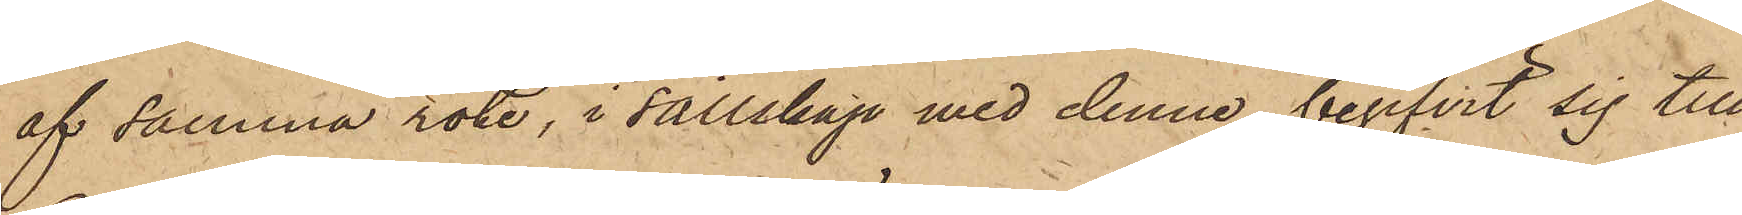af samma rote, i sällskap med denne begifvit sig till
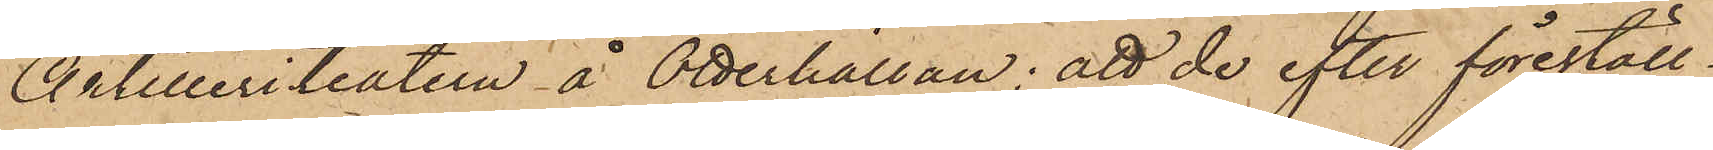Artilleriteatern å Otterhällan; att de efter föreställ¬
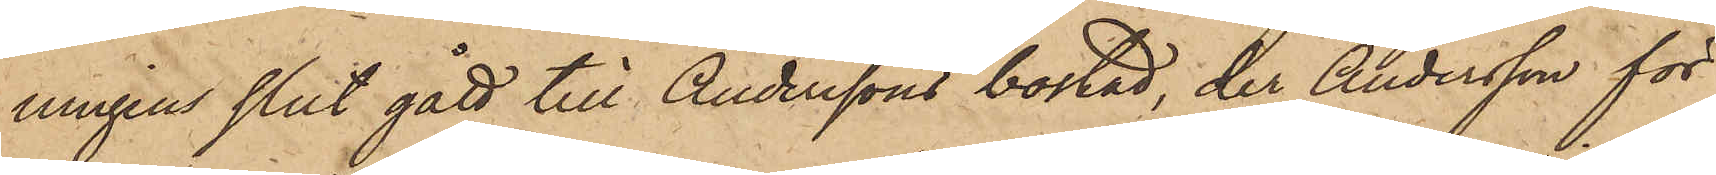ningens slut gått till Anderssons bostad, der Andersson för
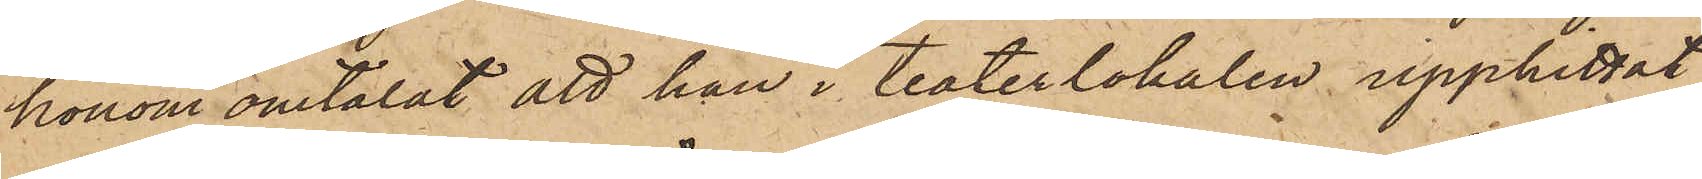honom omtalat att han i teaterlokalen upphittat
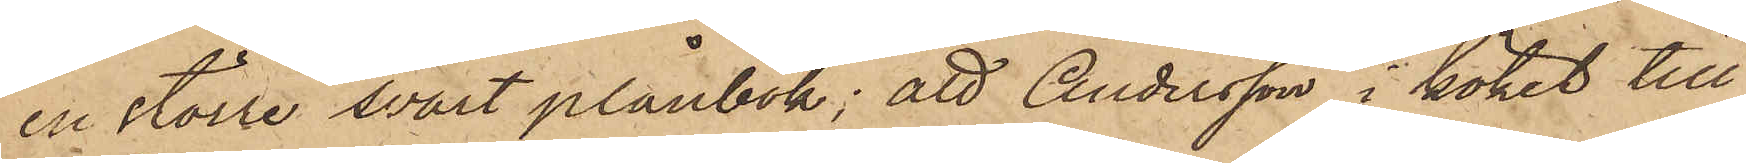en större svart plånbok; att Andersson i köket till
